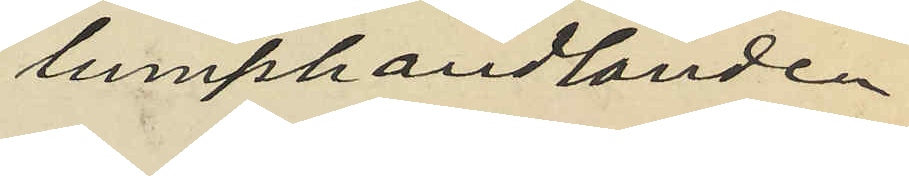å lumphandlanden
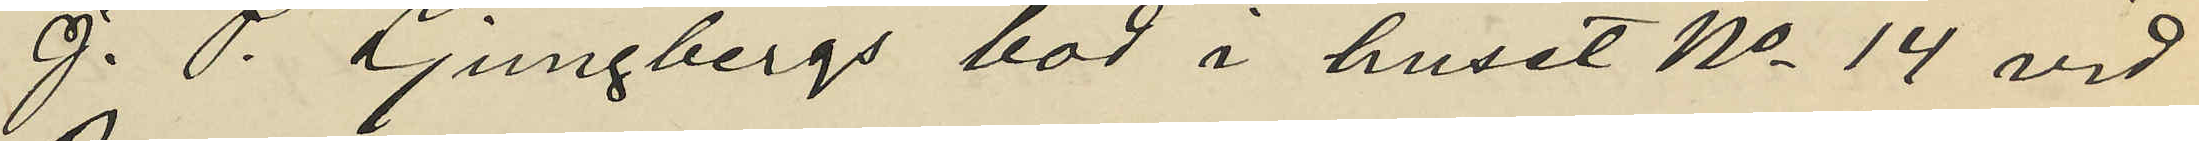J. P. Ljungbergs bod i huset No 14 vid
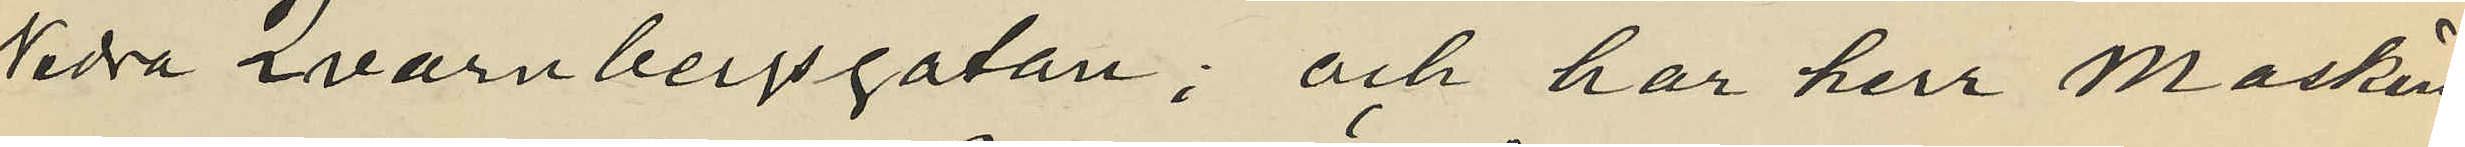Nedre Qvarnbergsgatan; och har herr Maskin¬
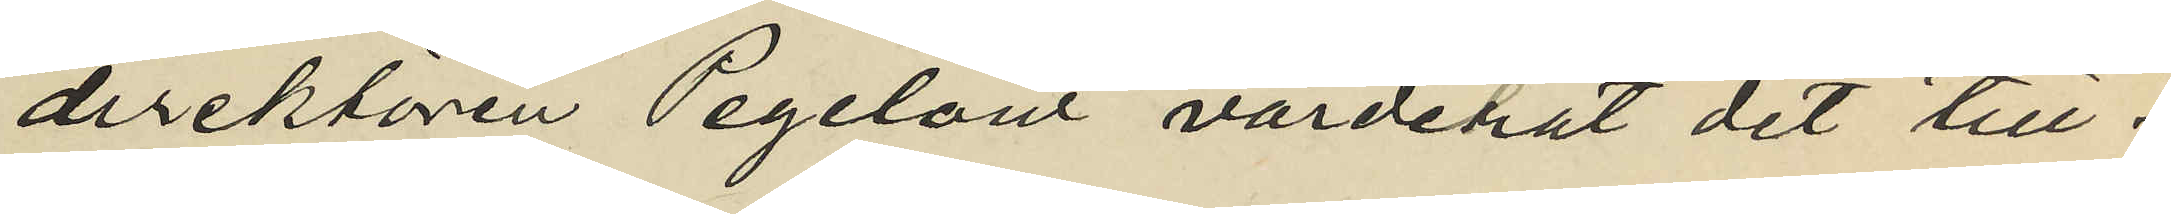direktören Pegelow värderat det till¬
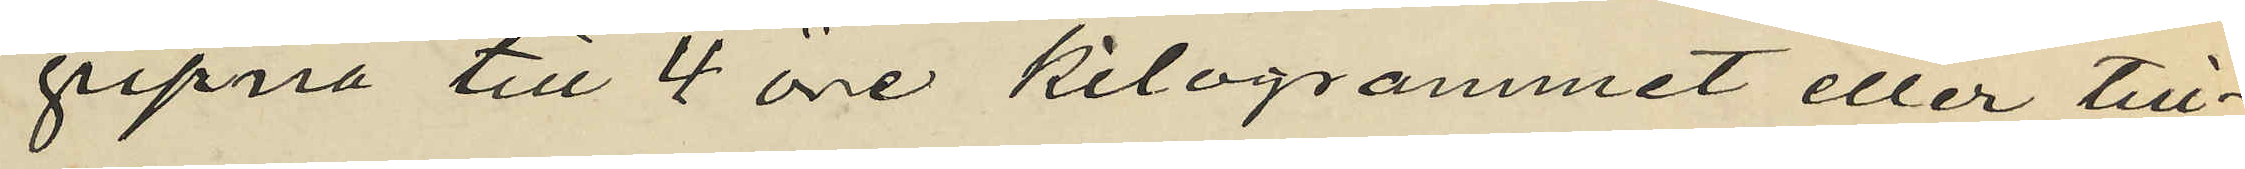gipna till 4 öre kilogrammet eller till¬
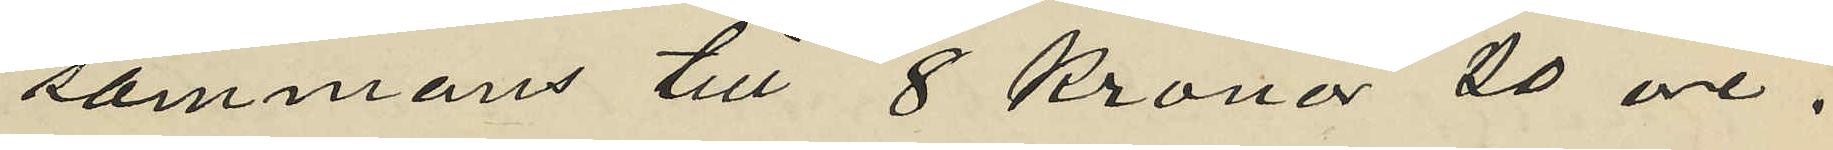sammans till 8 Kronor 40 öre.
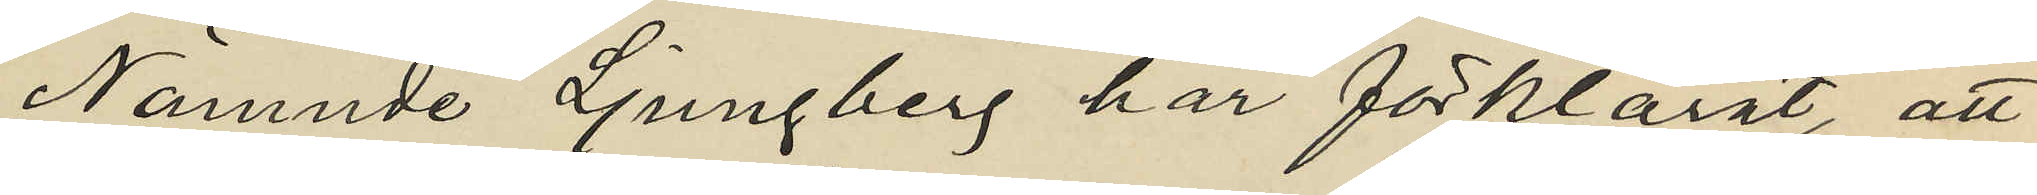Nämnde Ljungberg har förklarat, att
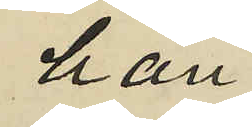han
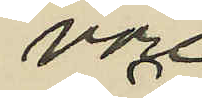vore
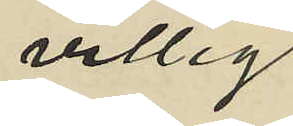villig
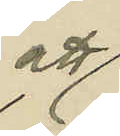att
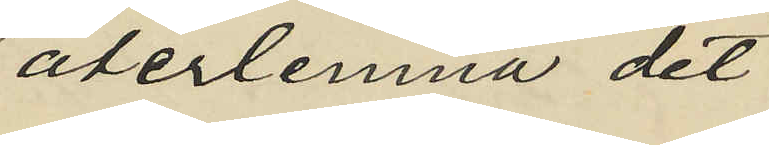återlemna det
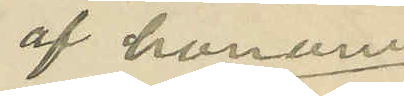af honom
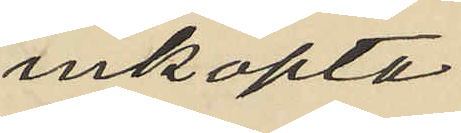inköpta
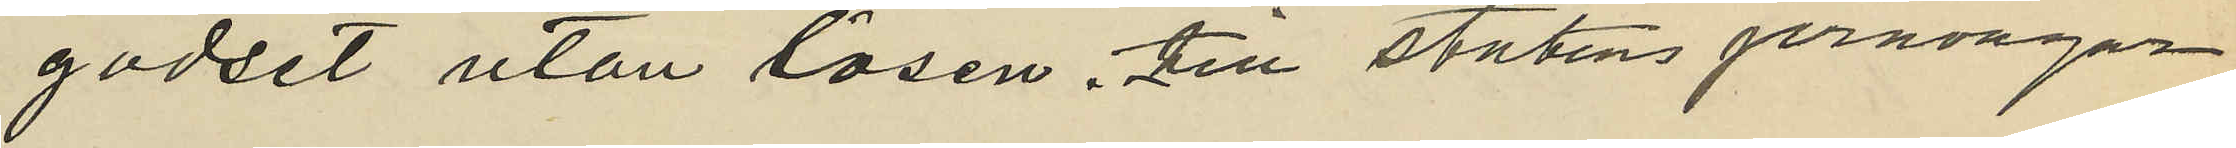godset utan lösen till statens jernvägar.
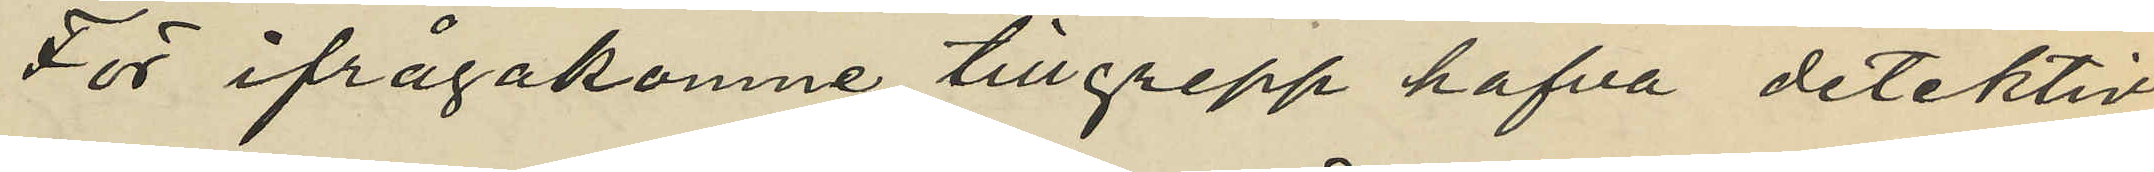För ifrågakomne tillgrepp hafva detektiv
